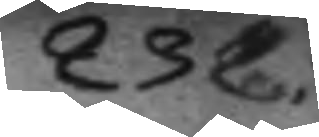232
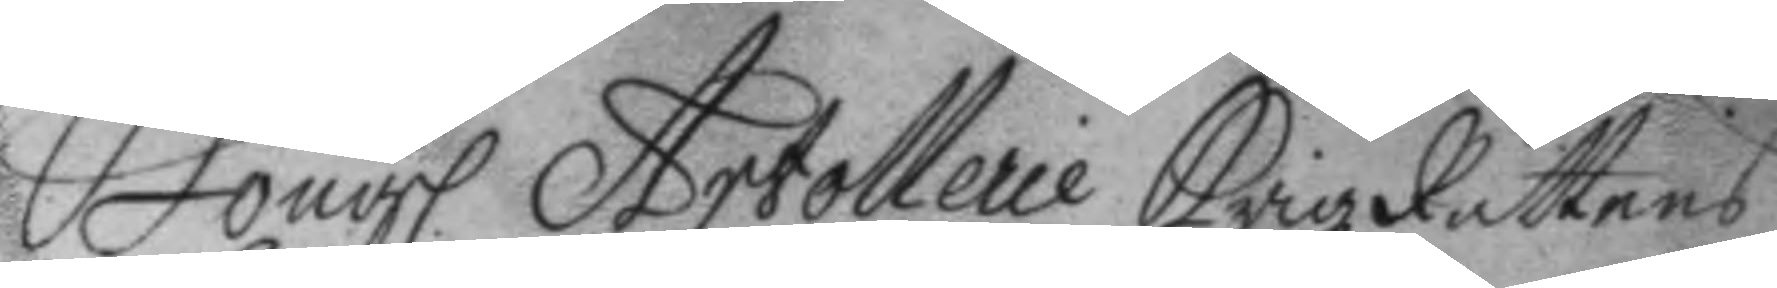Kongl. Artollerie KrigzRättens 
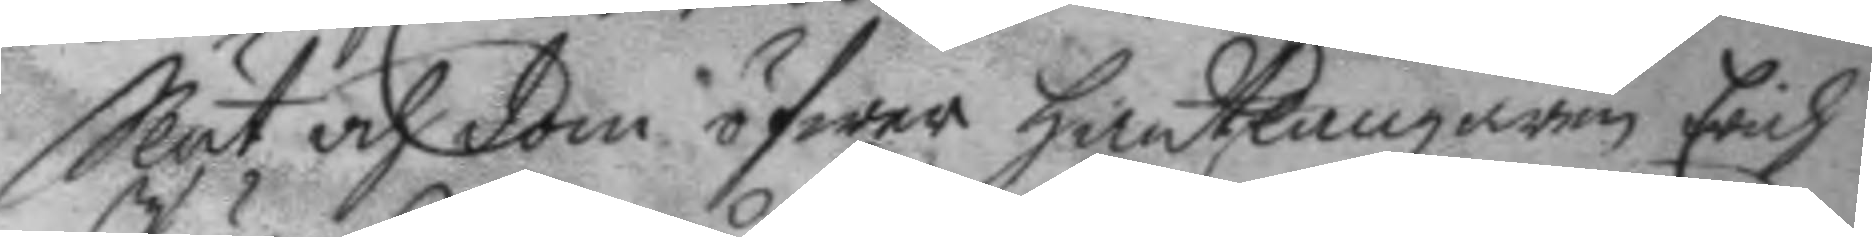Slut och dom öfwer hantlangaren Erich
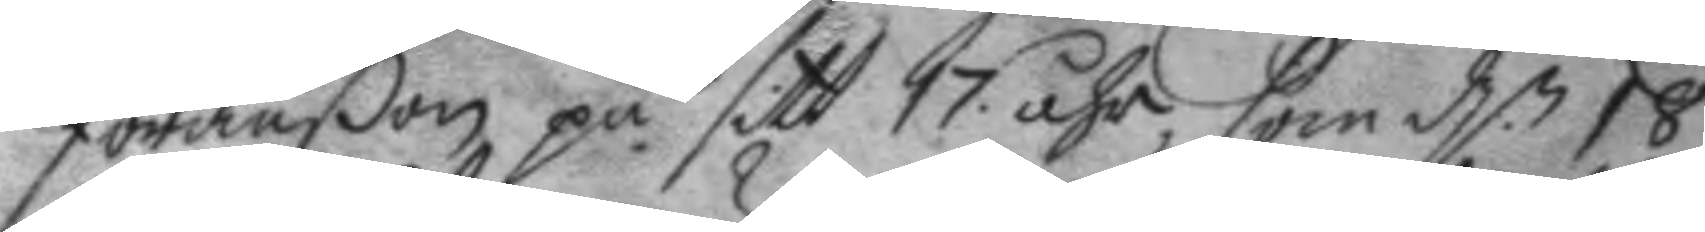Jöranßon på sitt 17 åhr, som d.n 18
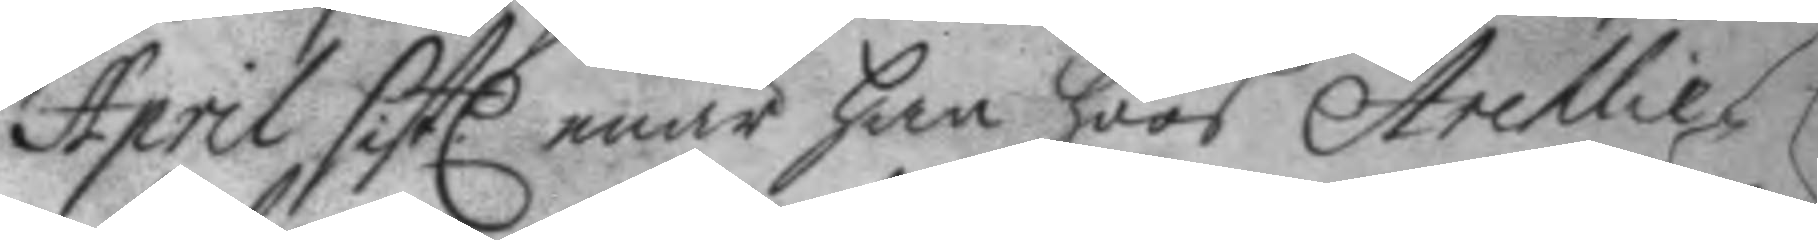April sistl enär han hoos Archlie¬
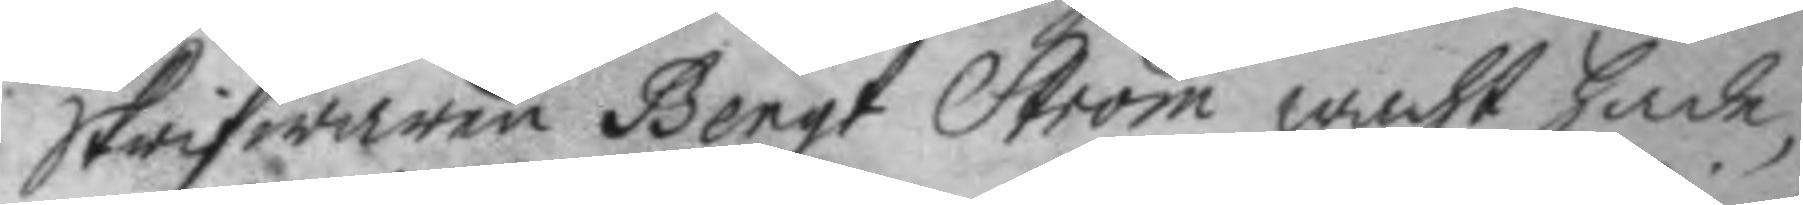skrifwaren Bengt Ström wacht hade,
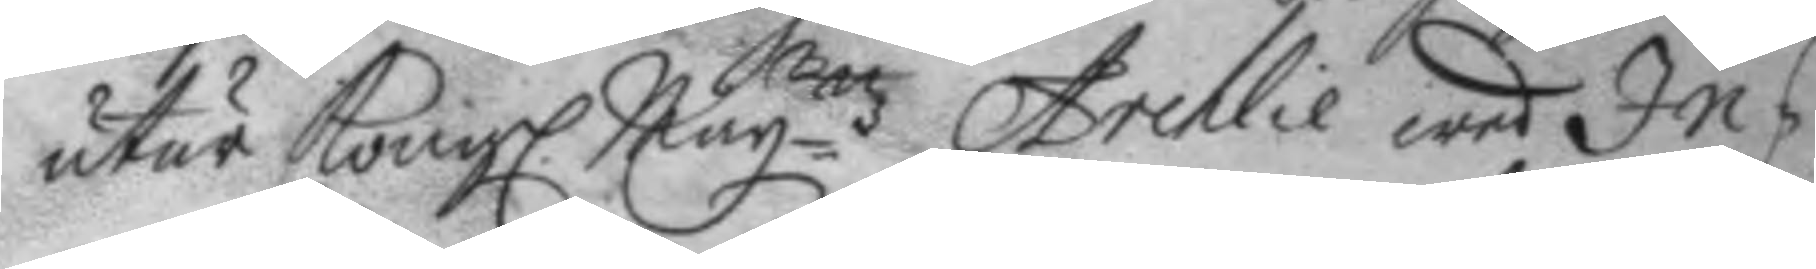utur Kongl. May.ttz Archlie wed In¬
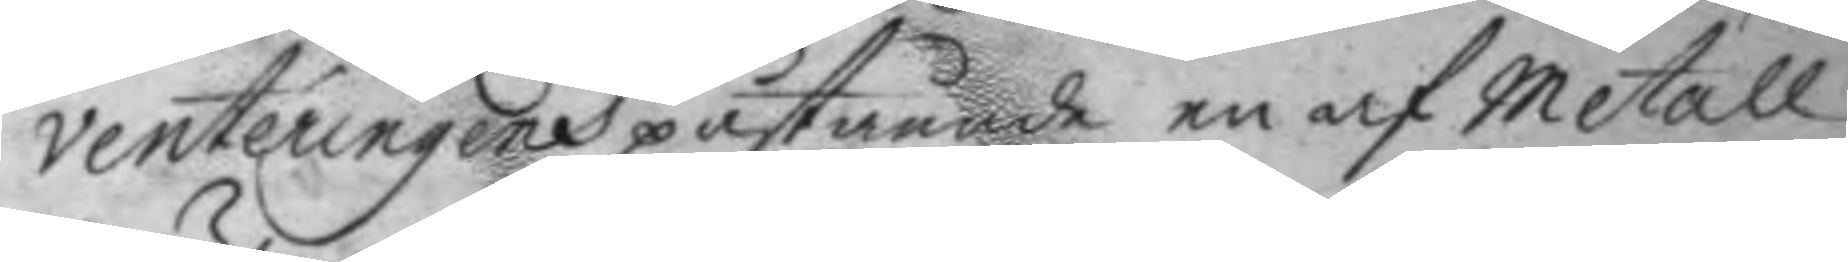venteningens påstående en af Metall
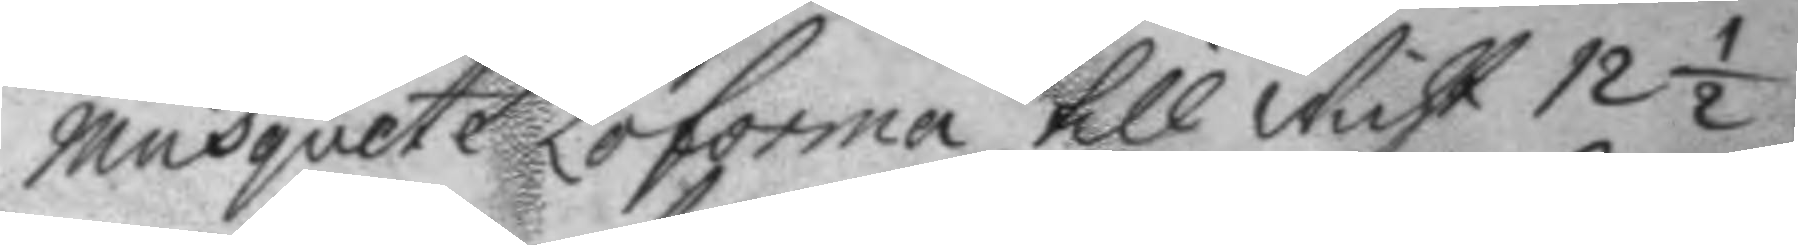musquete Loforma till wicht 12½.
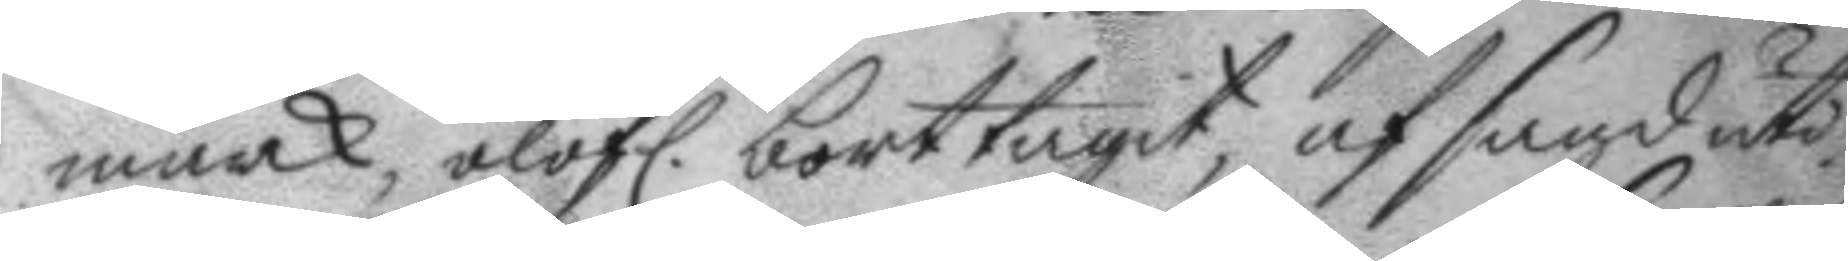mark, olofl. borttagit, af sagd uti
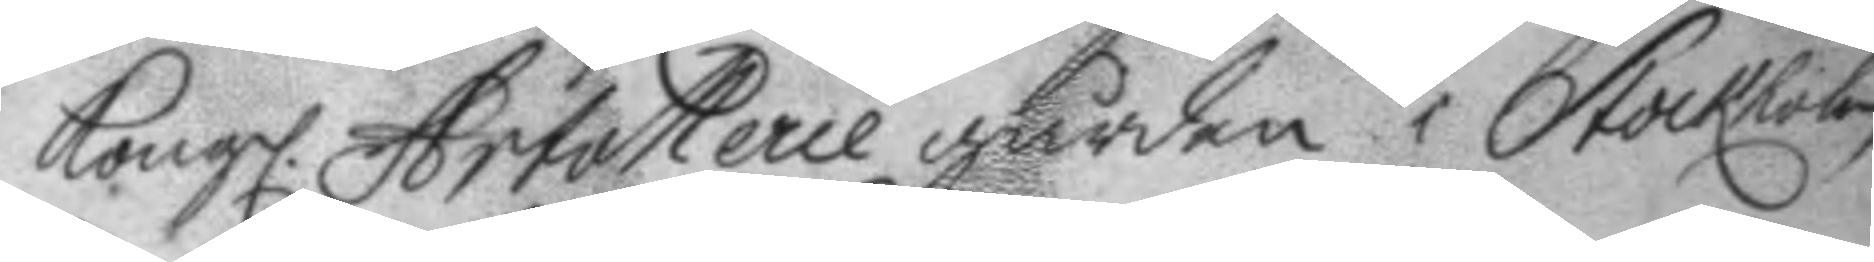Kongl. Artollerie gården i Stockholm
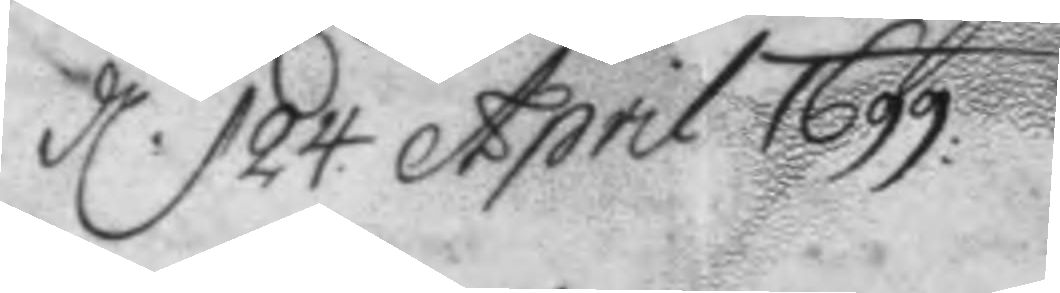d. 24 April 1699.
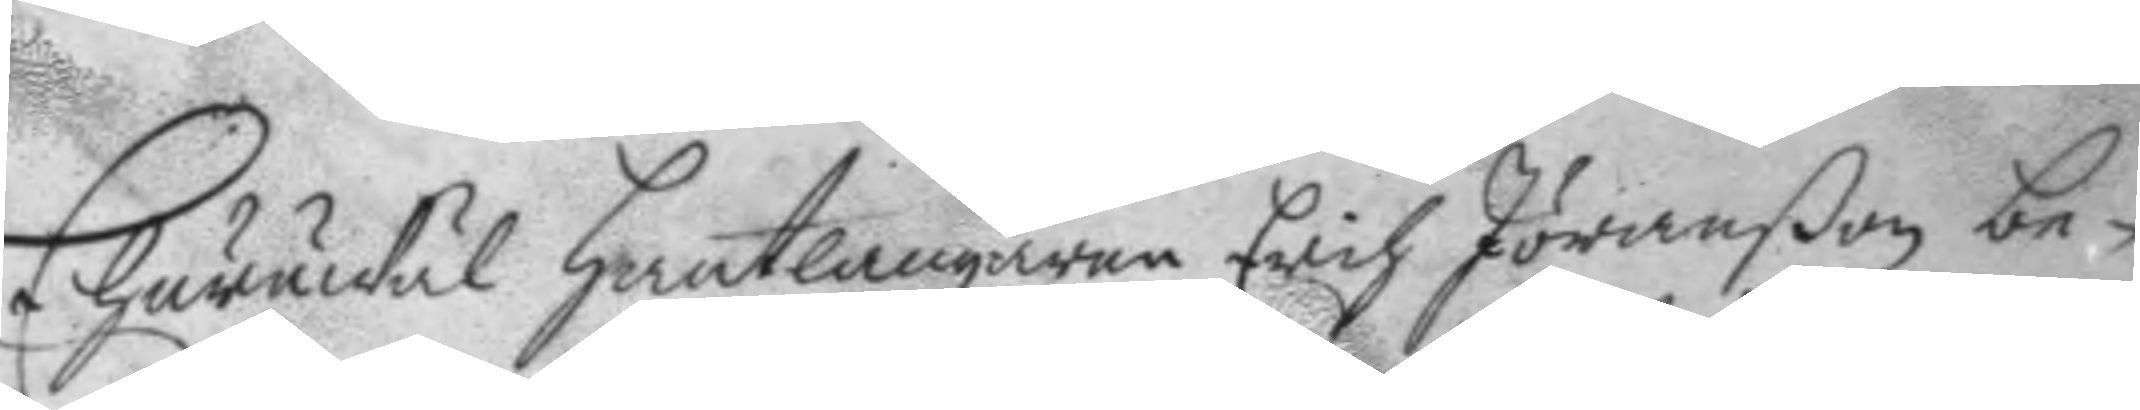Ehuruwäl hantlangaren Erich Jöranßon be¬
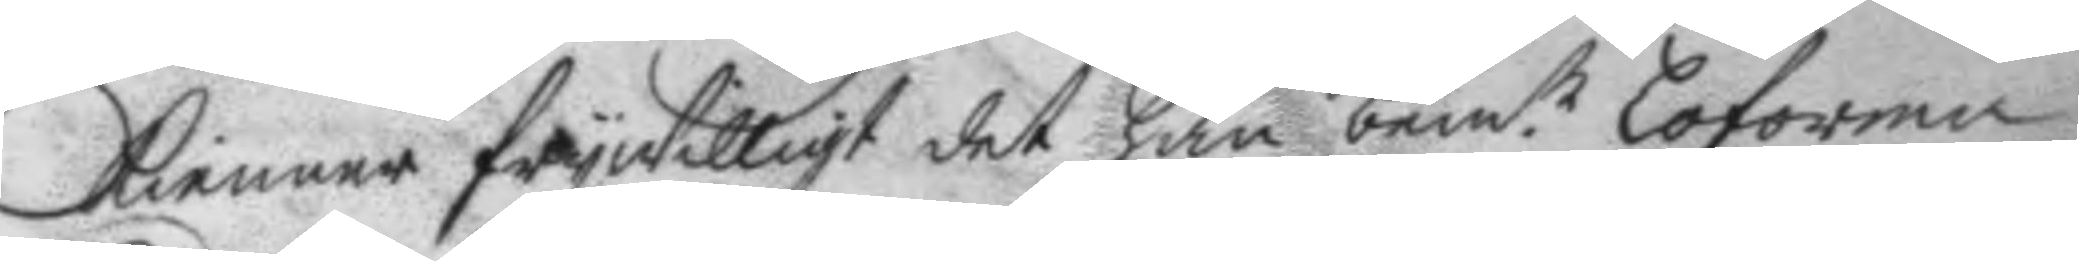kienner frywilligt det han bem.te loforma
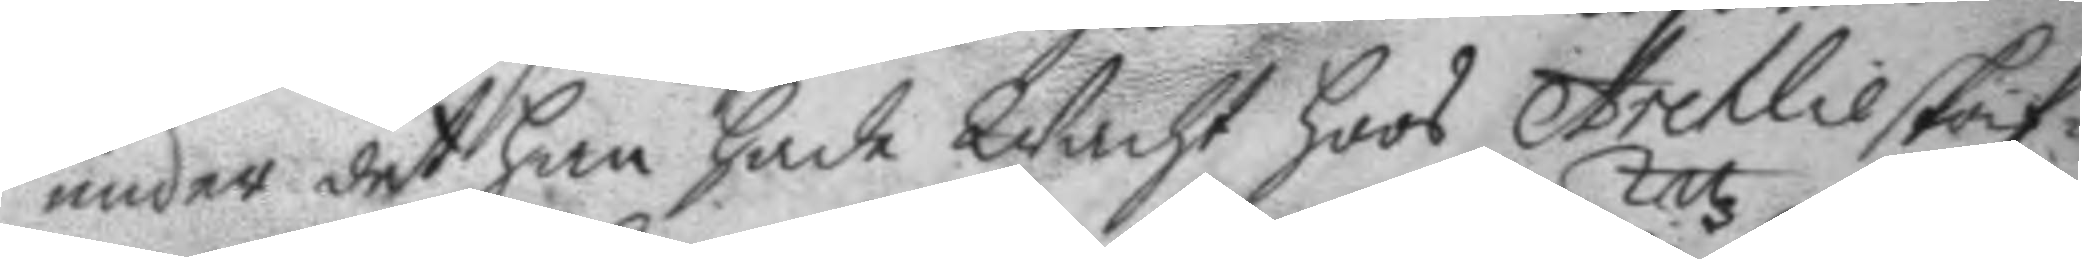under det han hade Wacht hoos Archlieskrif¬
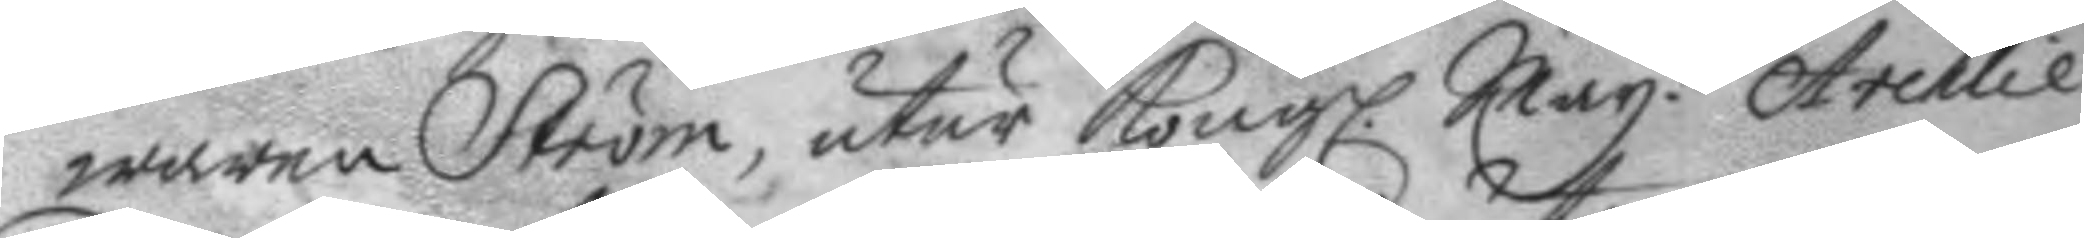waren Ström, utur Kongl. May.ttz Archlie
